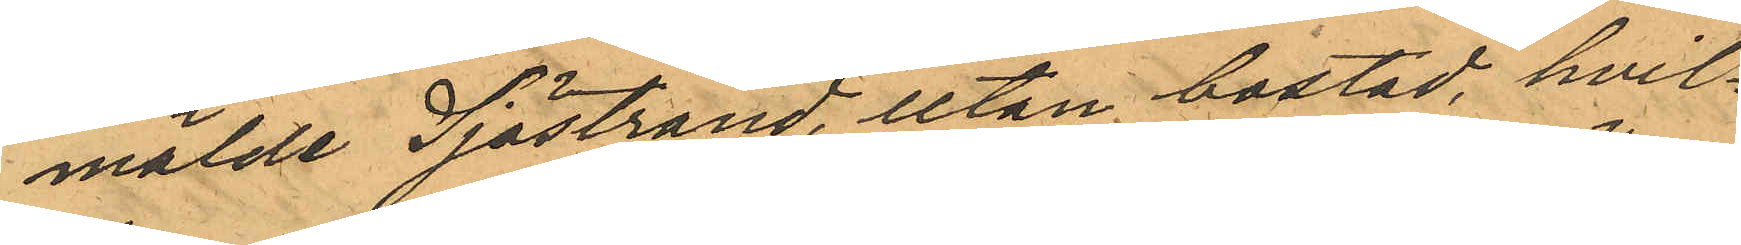mälde Sjöstrand, utan bostad, hvil¬
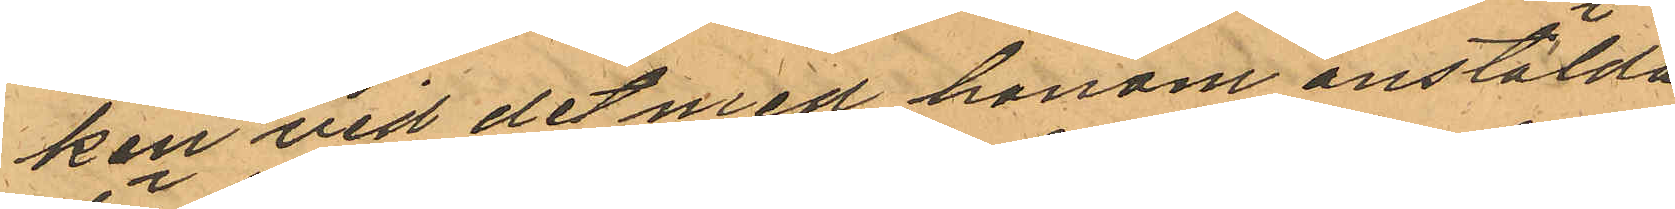ken vid det med honom anstälda
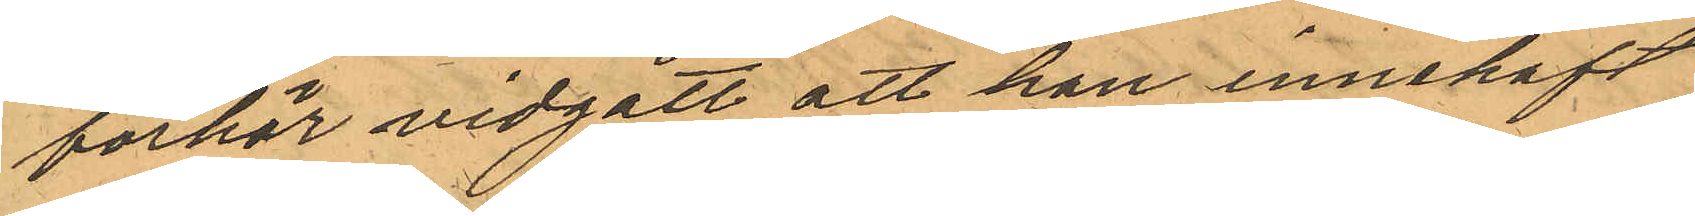förhör vidgått att han innehaft
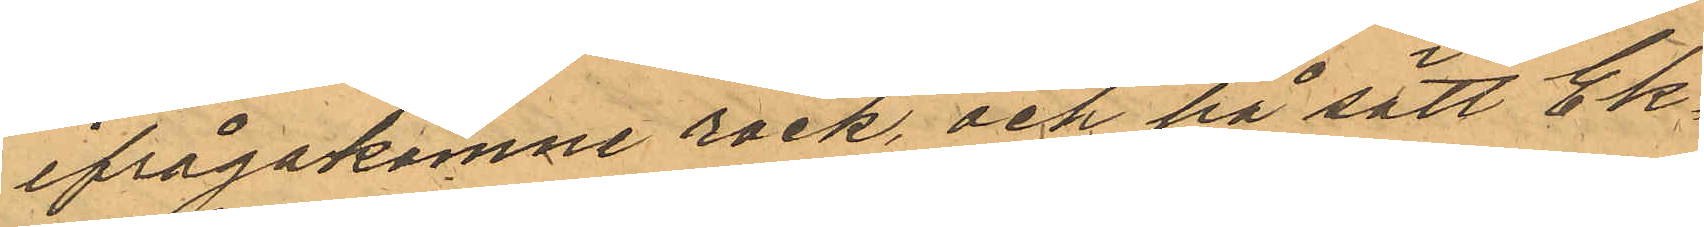ifrågakomne rock, och på sätt Ek¬
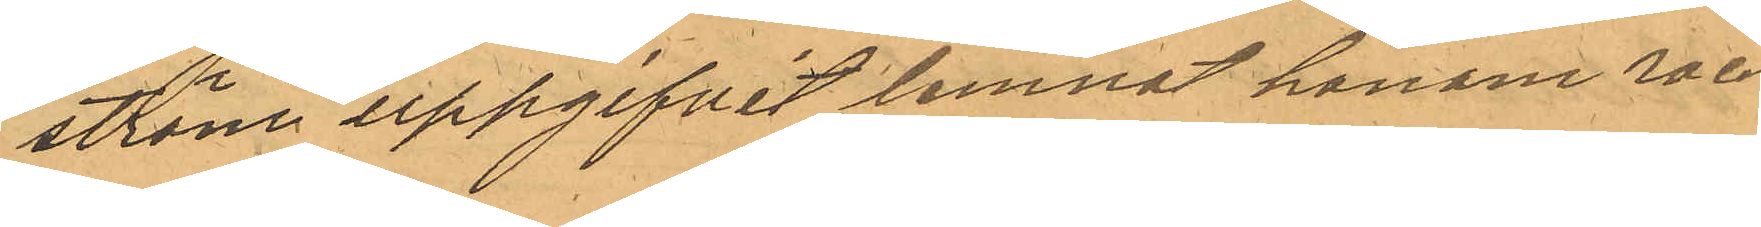ström uppgifvit lemnat honom roc¬
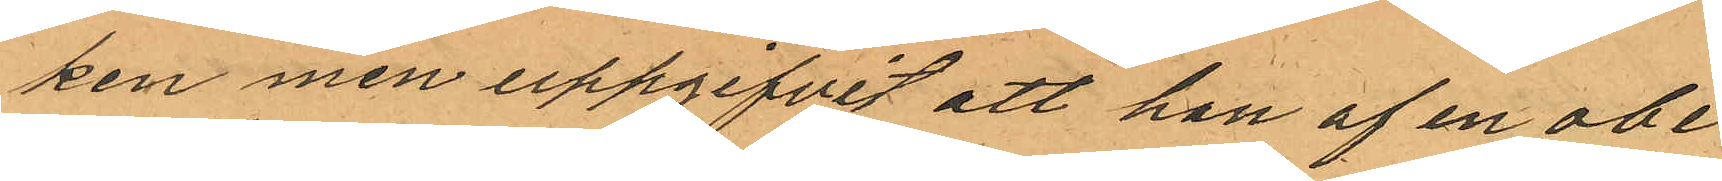ken men uppgifvit att han af en obe¬
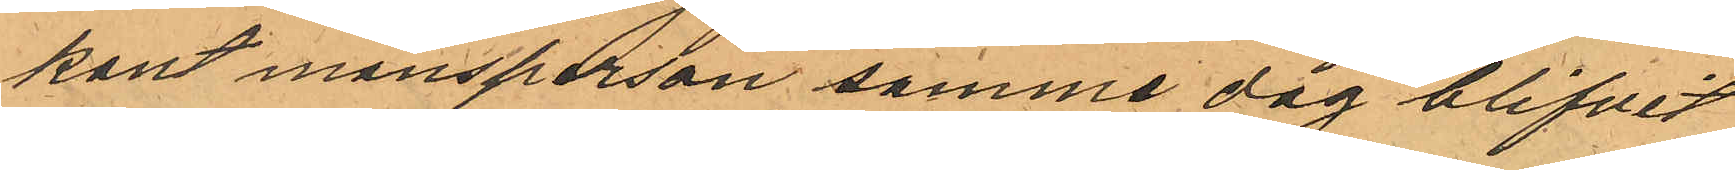kant mansperson samme dag blifvit
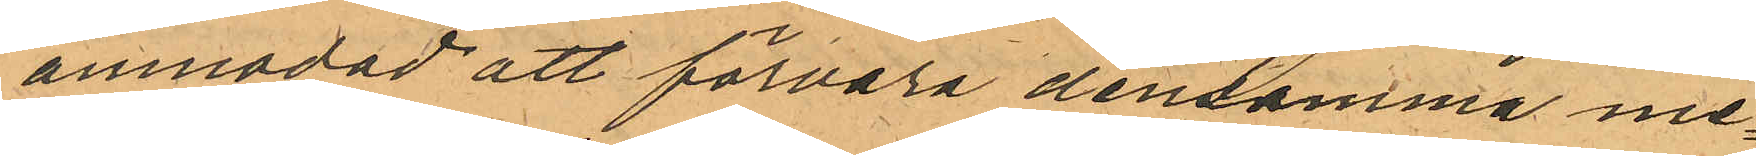anmodad att förvara densamma me¬
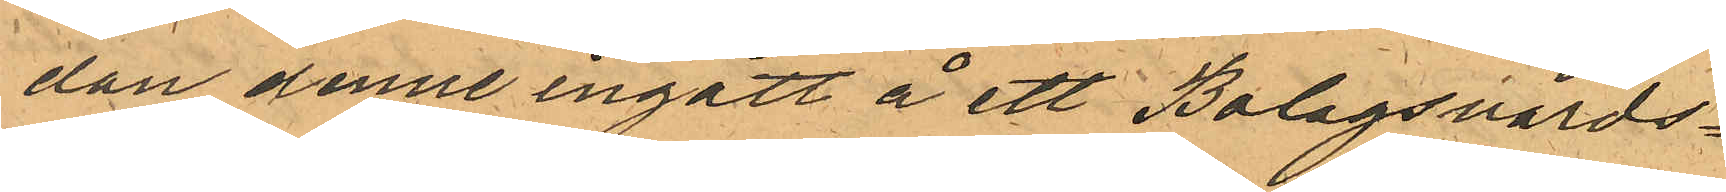dan denne ingått å ett Bolagsvärds¬
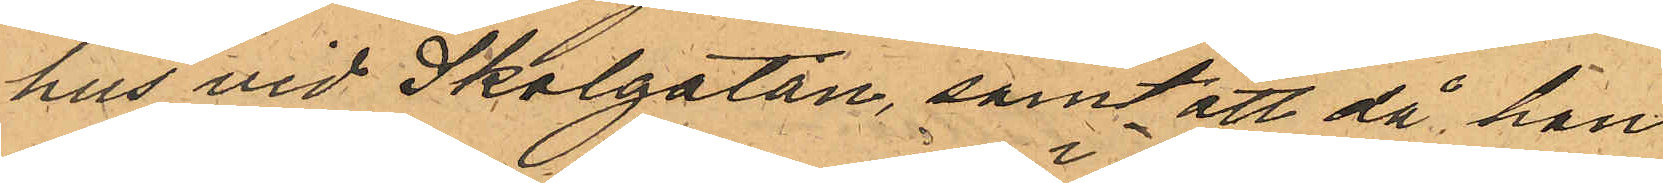hus vid Skolgatan, samt att då han
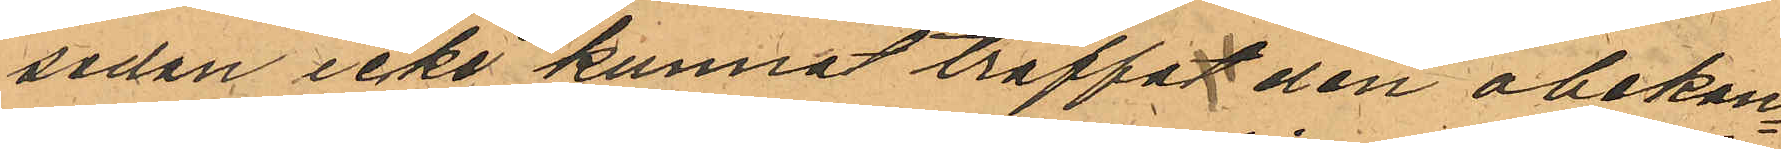sedan icke kunnat träffat den obekan¬
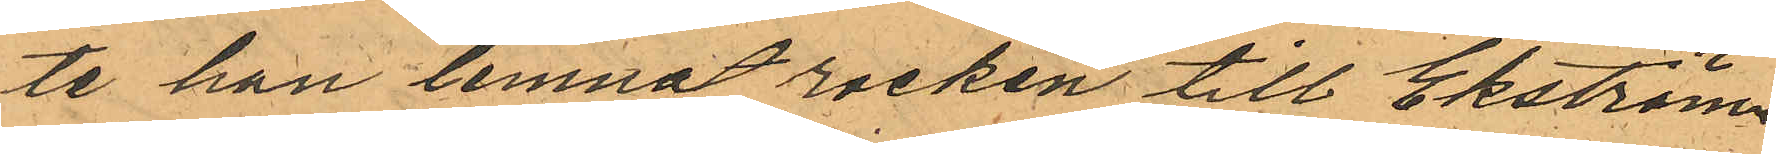te han lemnat rocken till Ekström
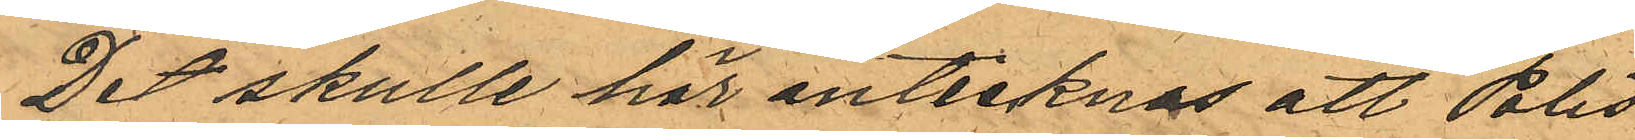Det skulle här antecknas att Polis¬
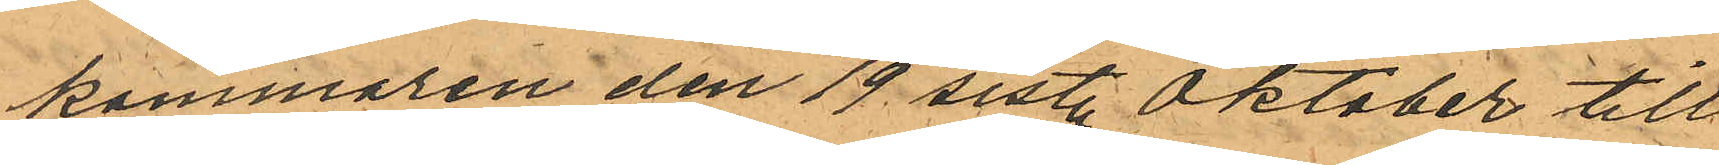kammaren den 19 sist. Oktober till
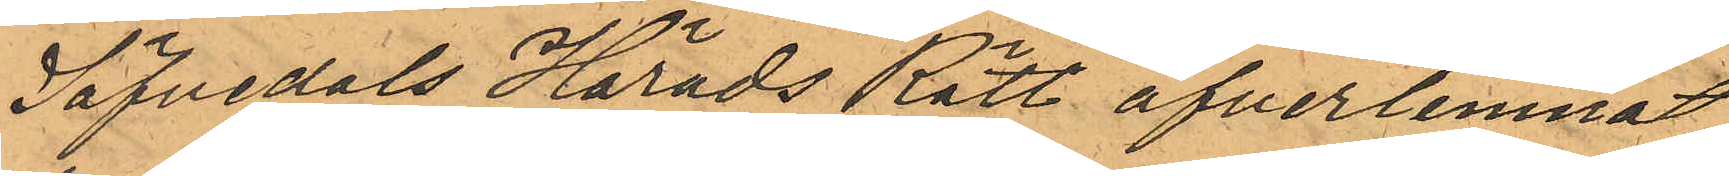Säfvedals Härads Rätt öfverlemnat
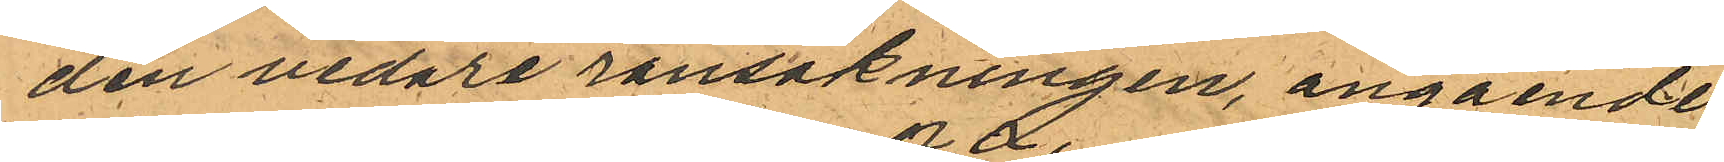den vidare ransakningen, angående
